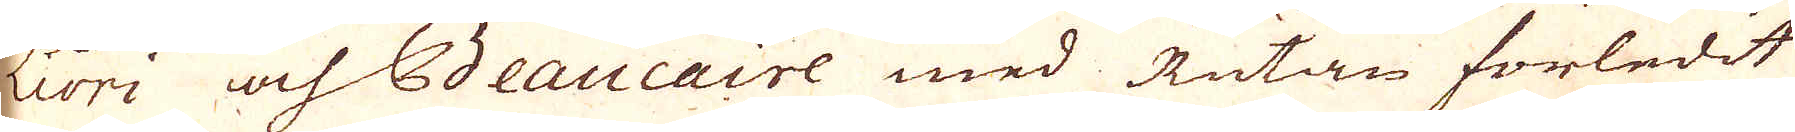Liori och Beaucaire med Rutan förledit
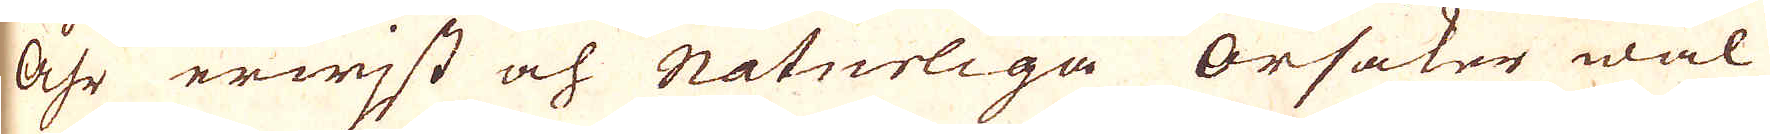åhr erwijst och Naturliga Orsaker wäl
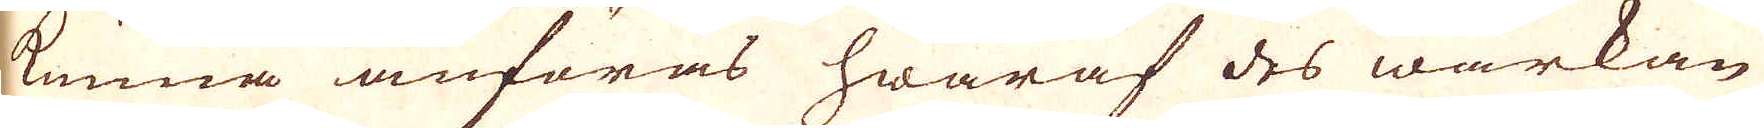kunna anföras hwaraf des wärkan
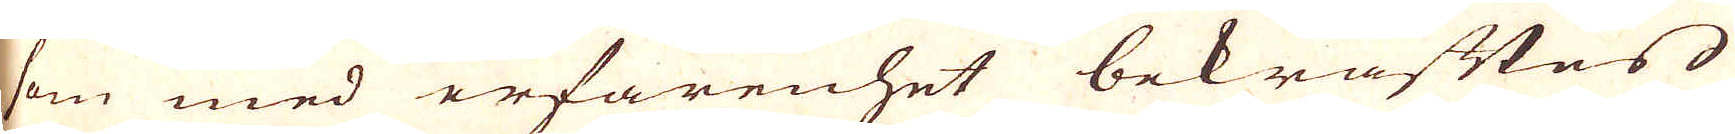som med erfarenhet bekräftas
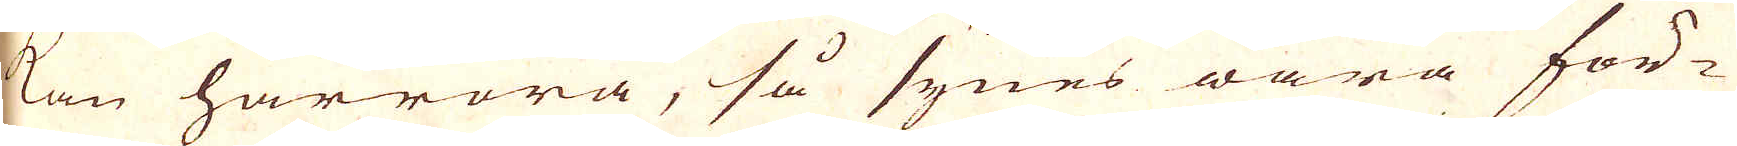kan härröra, så synes wara för-
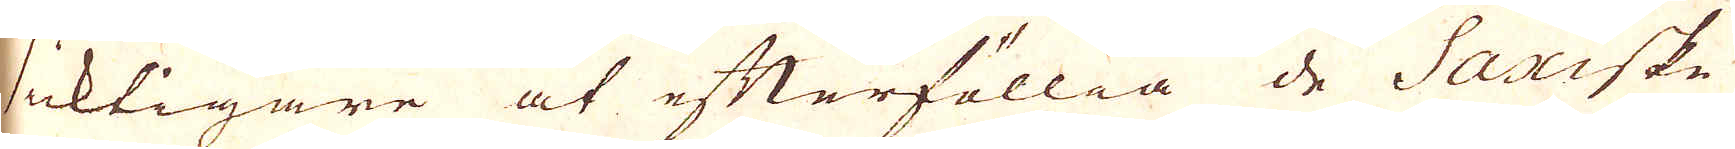siktigare at efterföllia de Saxiske
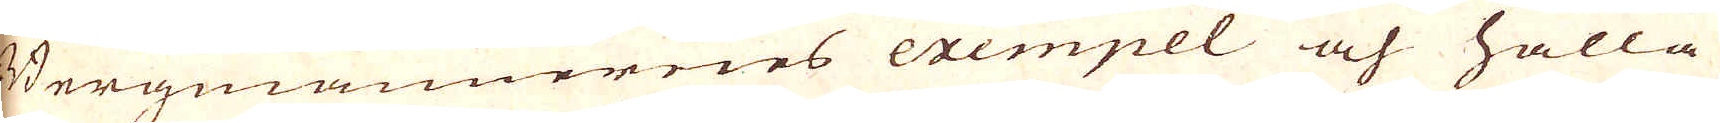Bergmännernes exempel och hålla
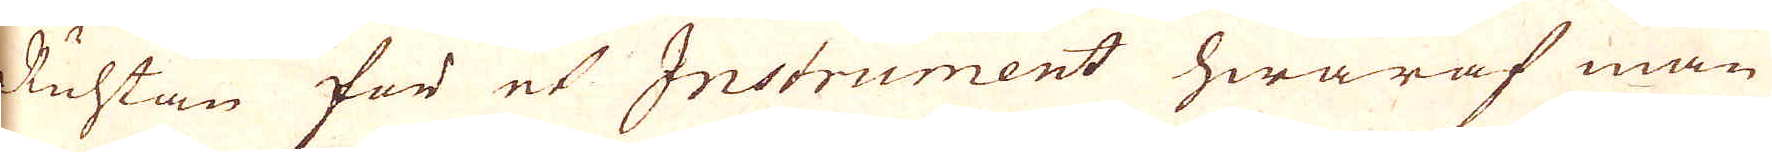Ruthan för et Instrument hwaraf man
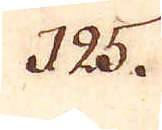125.
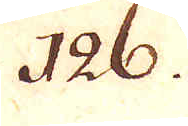126.
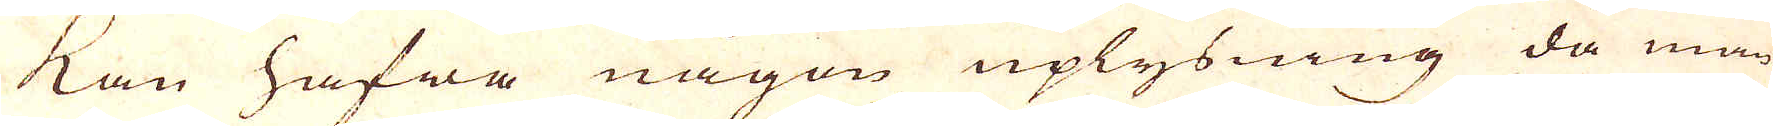kan hafwa någon uplysning då man
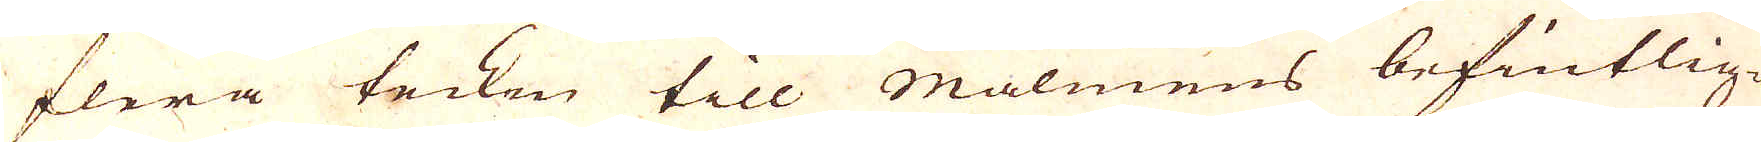flera tecken till Malmens befintlig-
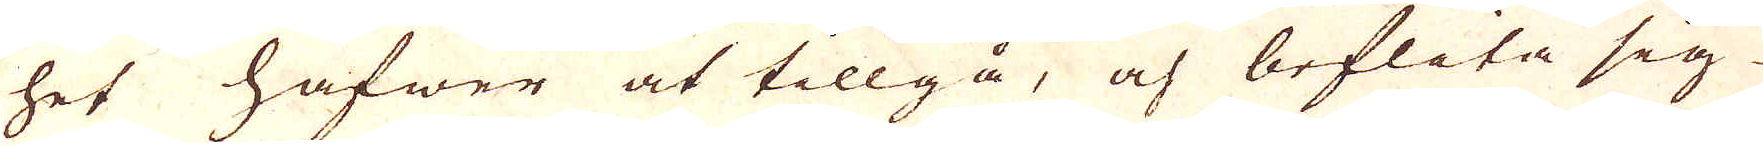het hafwer at tillgå, och beflita sig
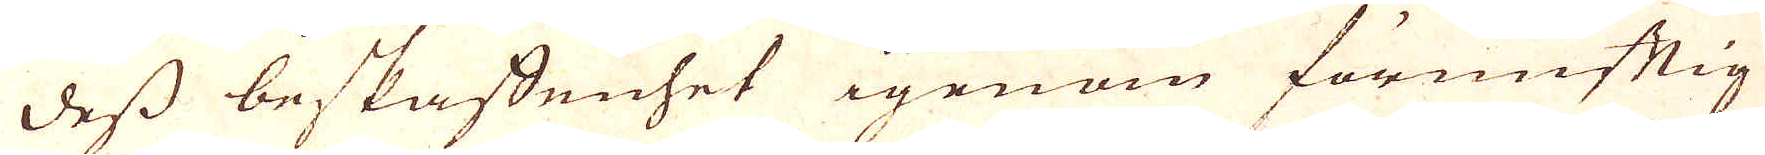dess beskaffenhet igenom förnuftig
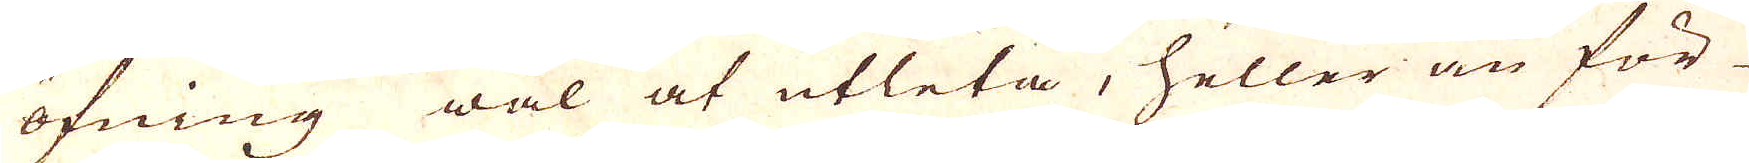öfning wäl at utleta, heller än för-
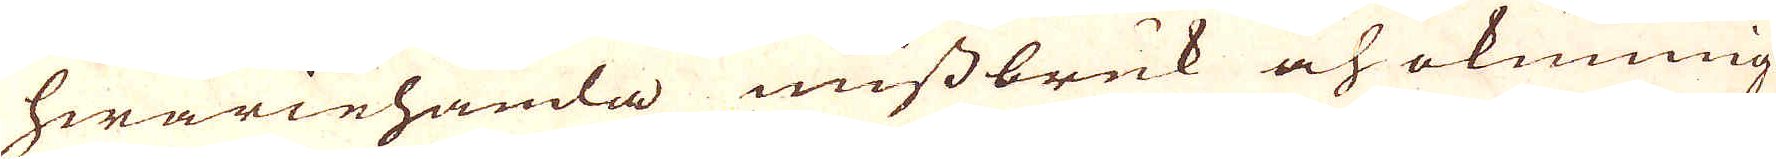hwariehanda missbruk och okunnig-
